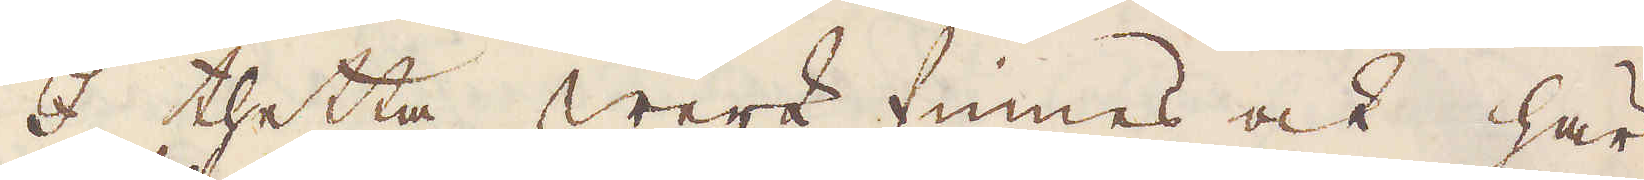I thetta werk finnes ock här
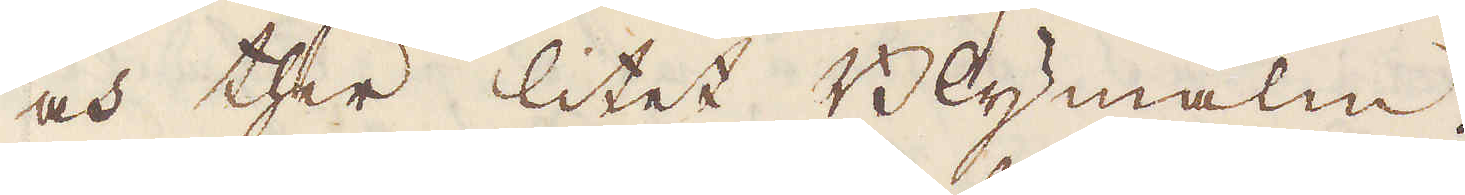och ther litet Blymalm.
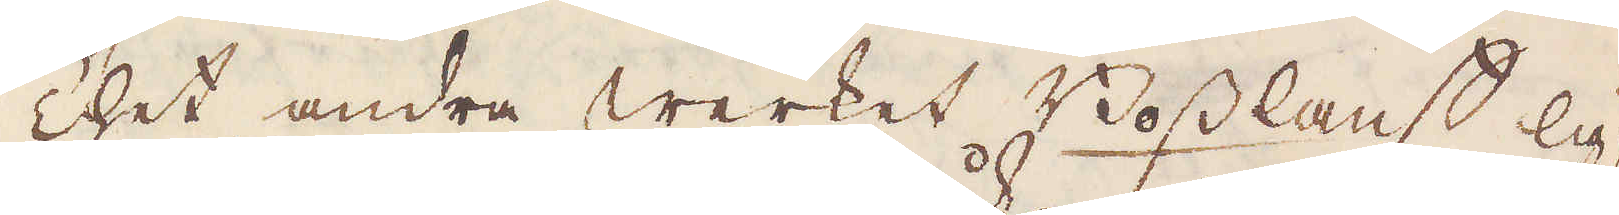Thet andra werket Bosslanst lig-
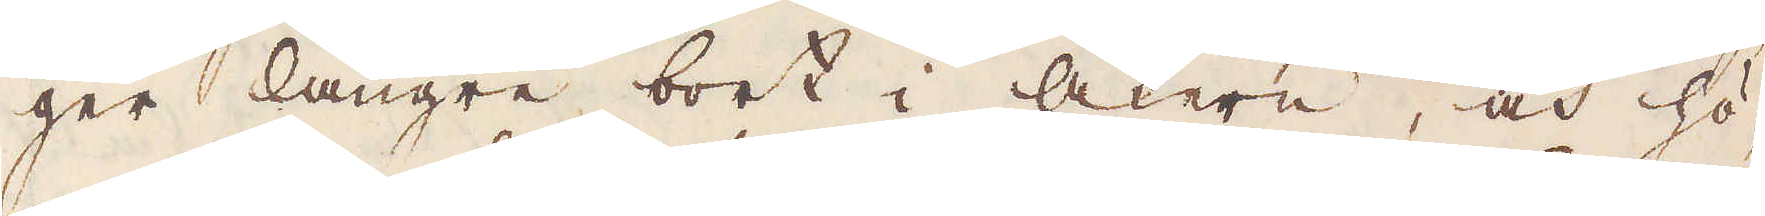ger längre bort i åkern, och hö-
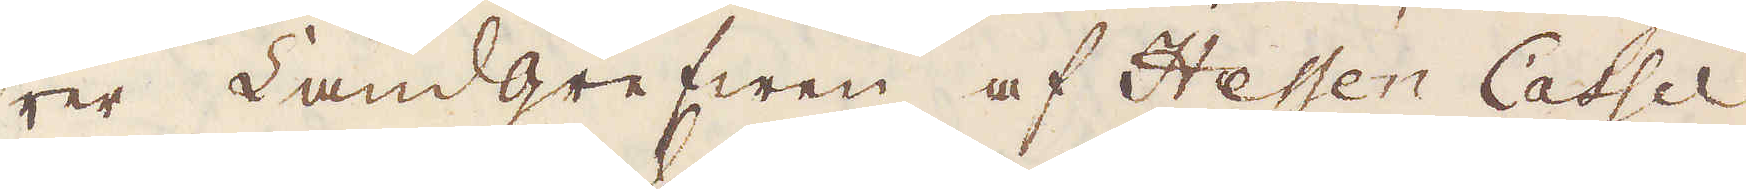rer Landgrefwen af Hessen Cassel
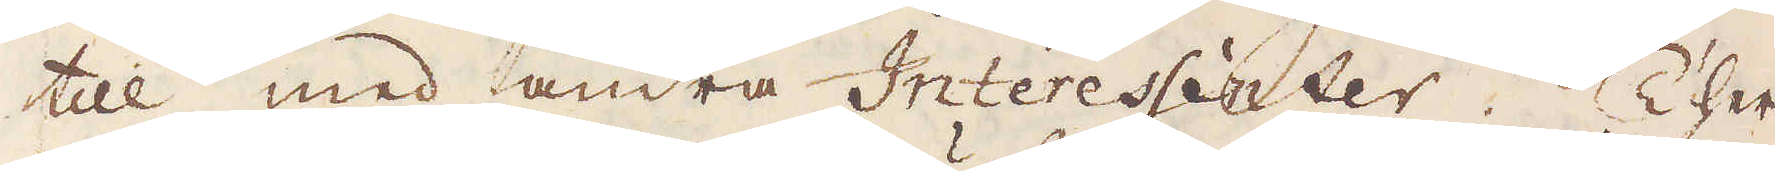till, med andra Interessenter. Ther
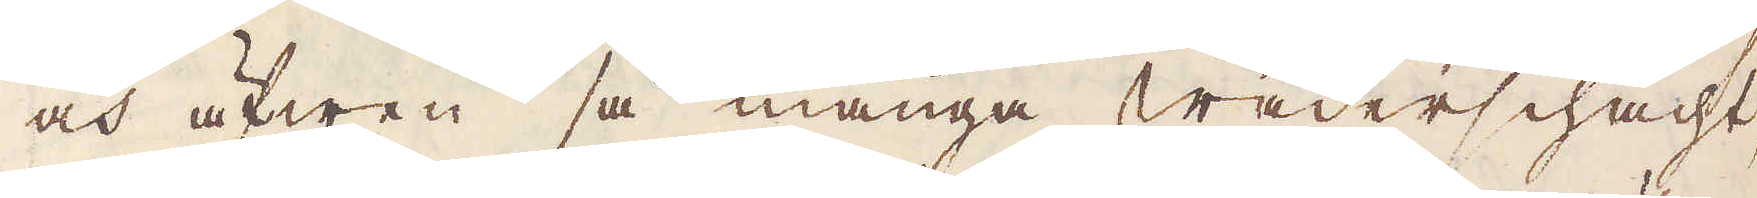och äfwen så många wäderschacht
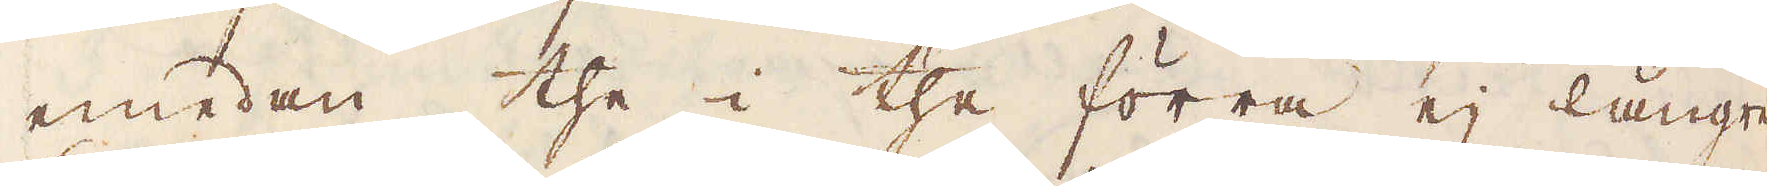emedan the i the förra ej längre
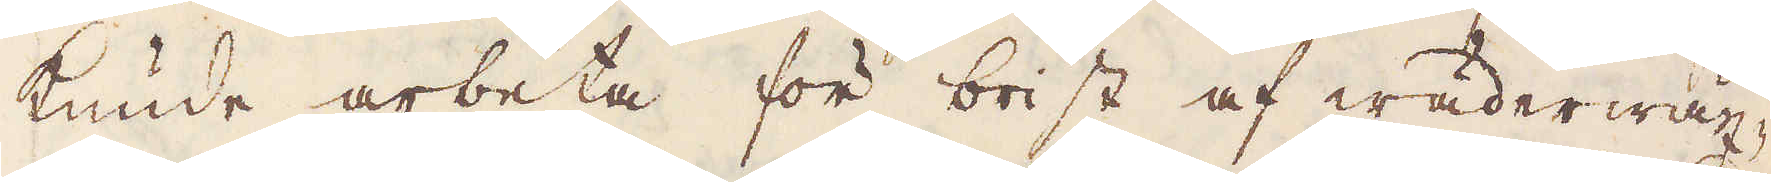kunde arbeta för brist af wäder wäx-
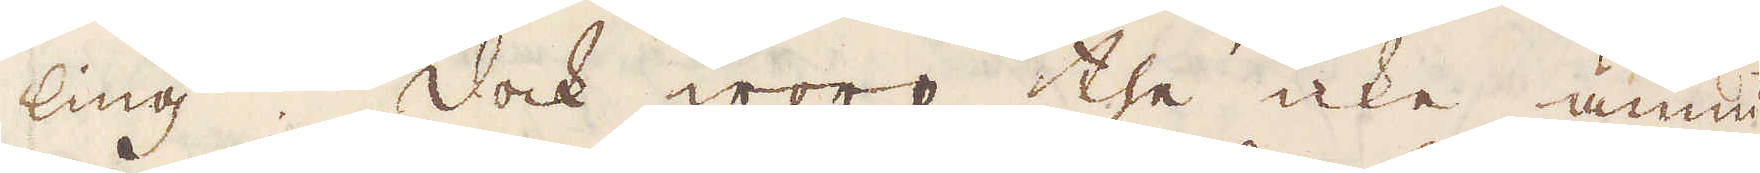ling. Dock woro the icke ännu
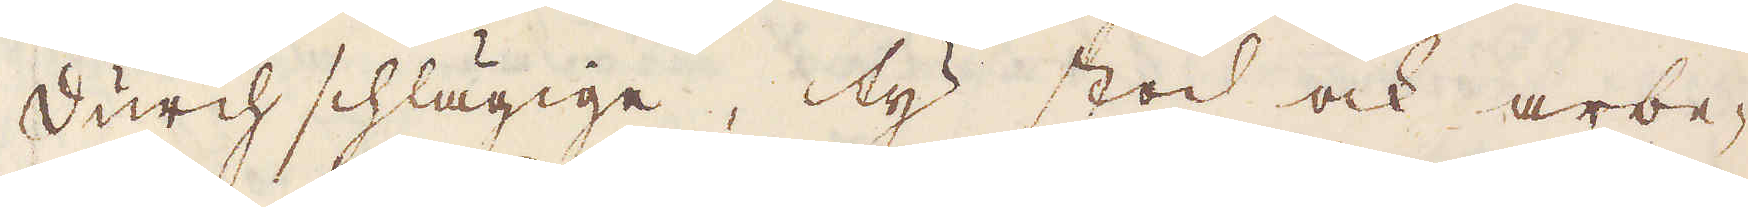Durch schlägige, ty stod och arbe-
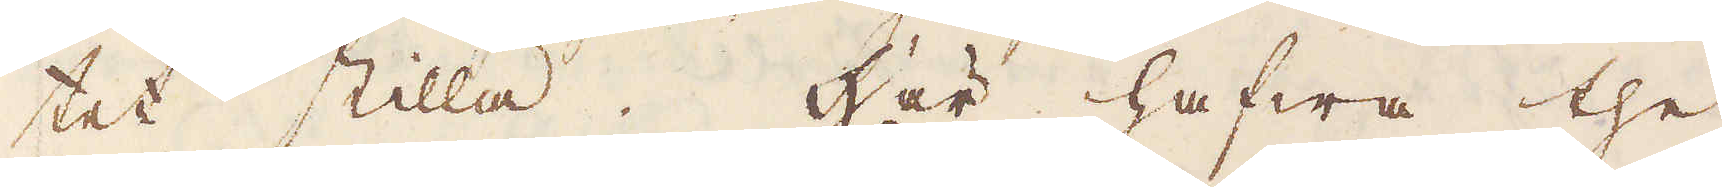tet stilla. Här hafwa the
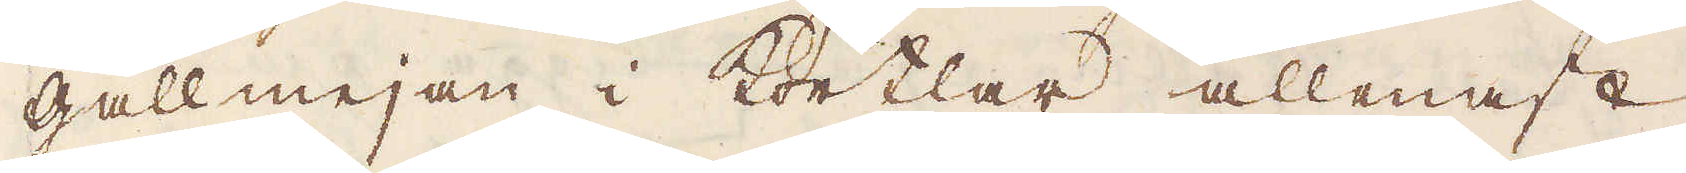gallmejan i Körtlar allenast,
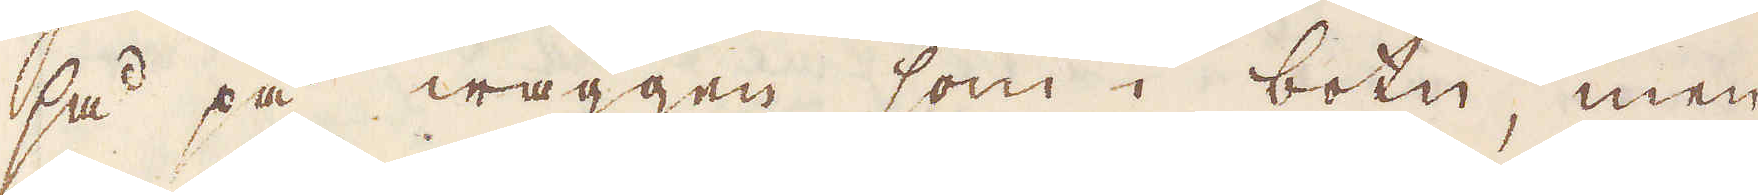så på wäggen som i botn, men
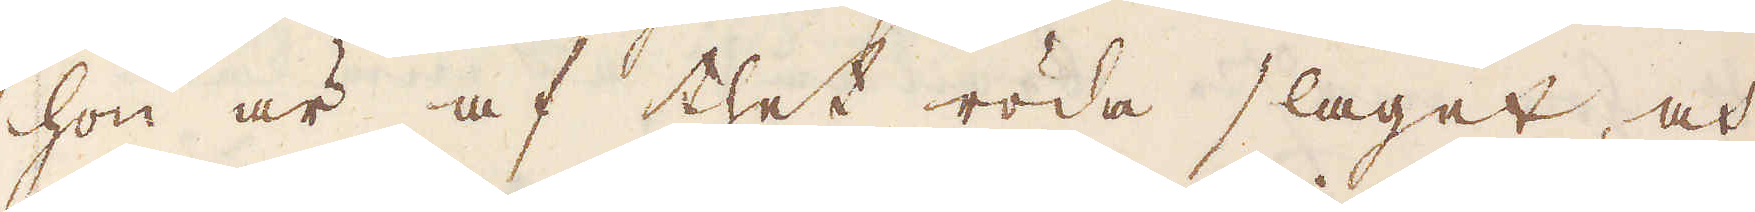hon är af thet röda slaget, och
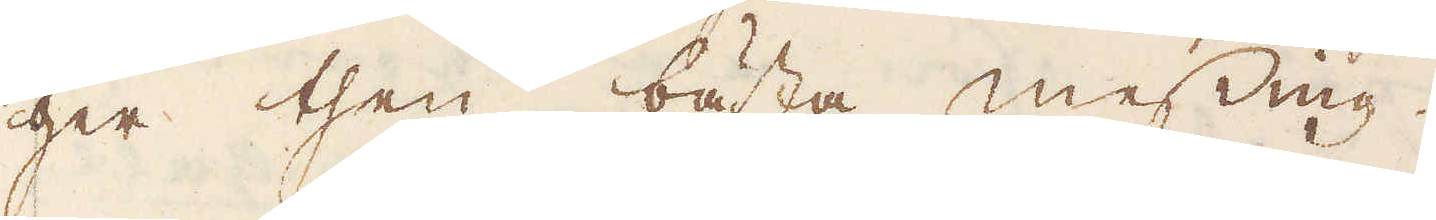ger then bästa messing.
